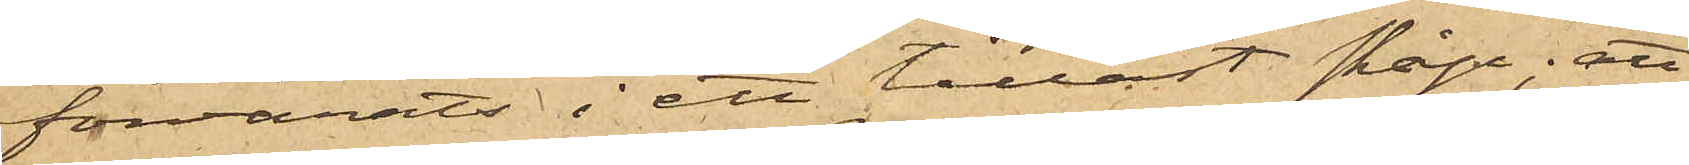förvarats i ett tillåst skåp; att
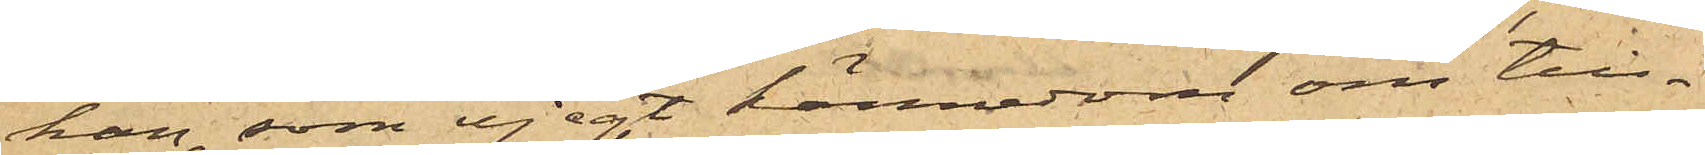han, som ej egt kännedom om till¬
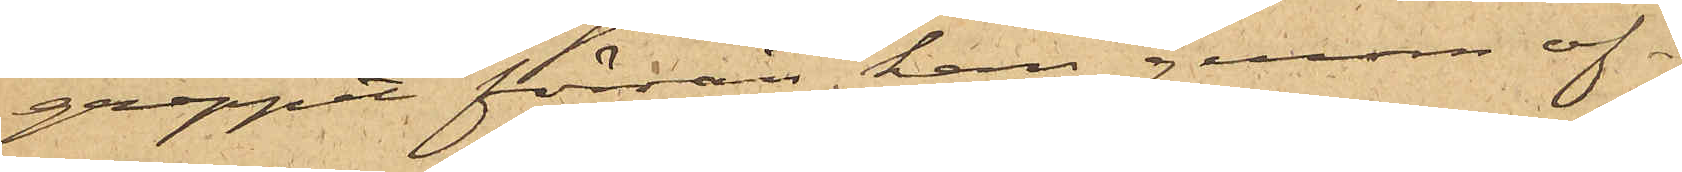greppet förrän han genom of¬
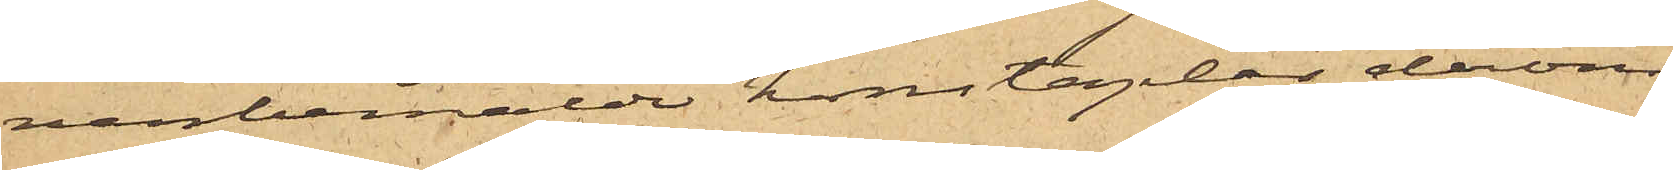vanbemälda konstaplar derom
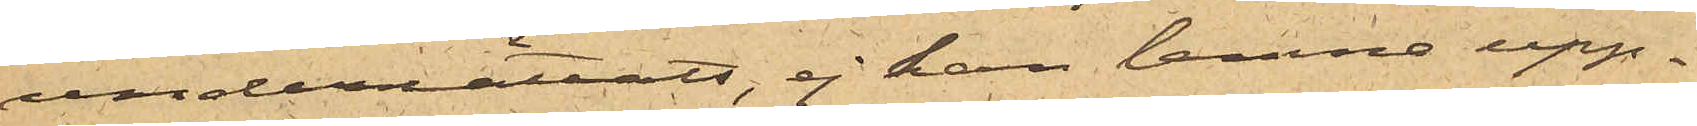underrättats, ej kan lemna upp¬
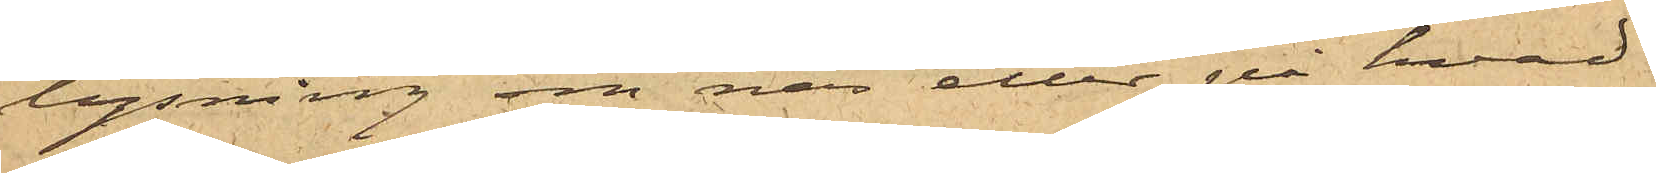lysning om när eller på hvad
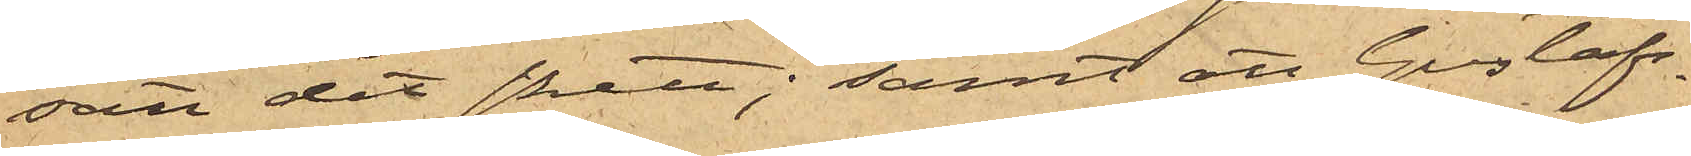sätt det skett; samt att Gustafs¬
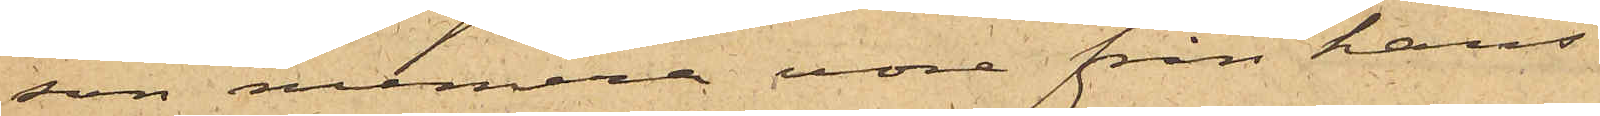son numera vore från hans
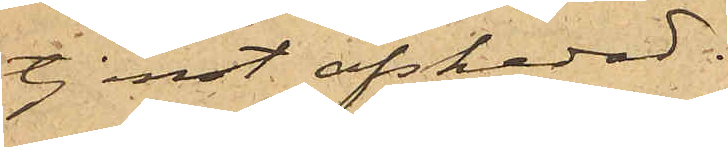tjenst afskedad.
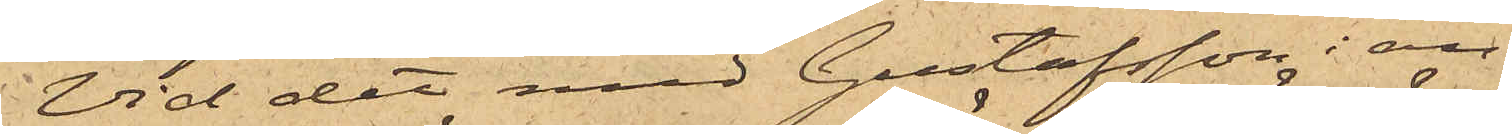Vid det med Gustafsson i an¬
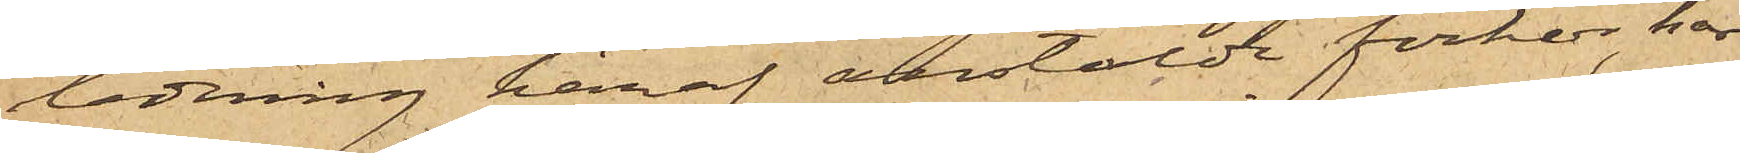ledning häraf anstälde förhör, har
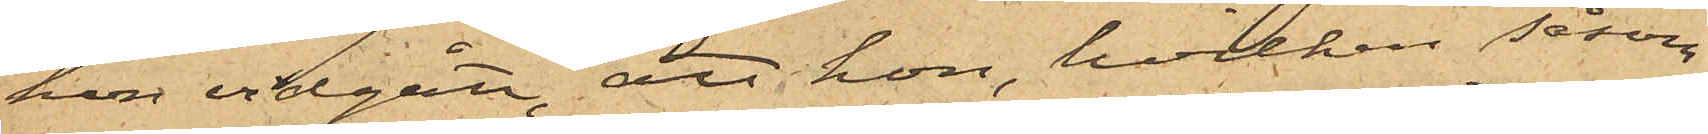hon vidgått, att hon, hvilken såsom
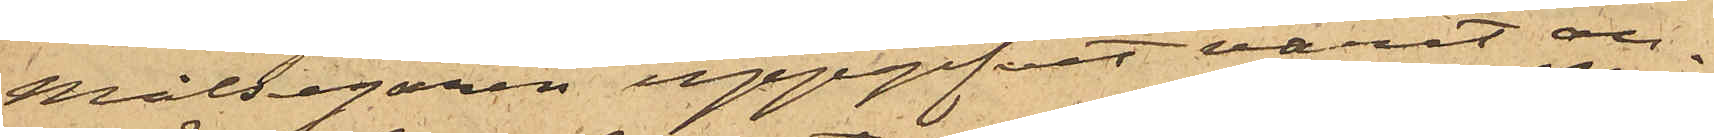Målsegaren uppgifvit varit an¬
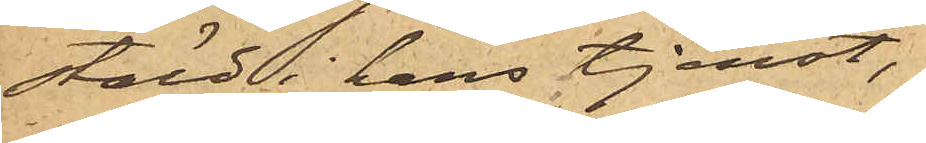stäld i hans tjenst,
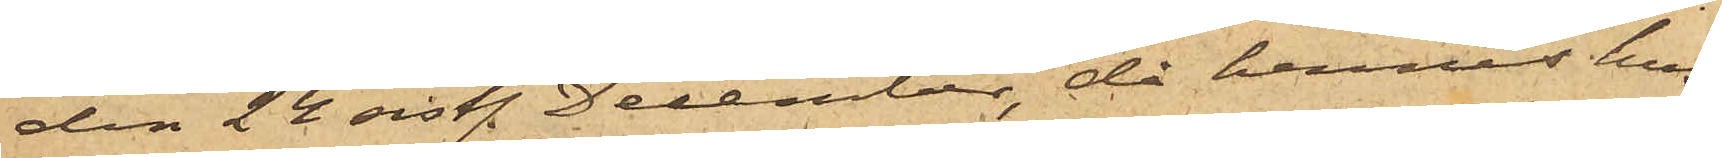den 24 sistl. December, då hennes hus¬
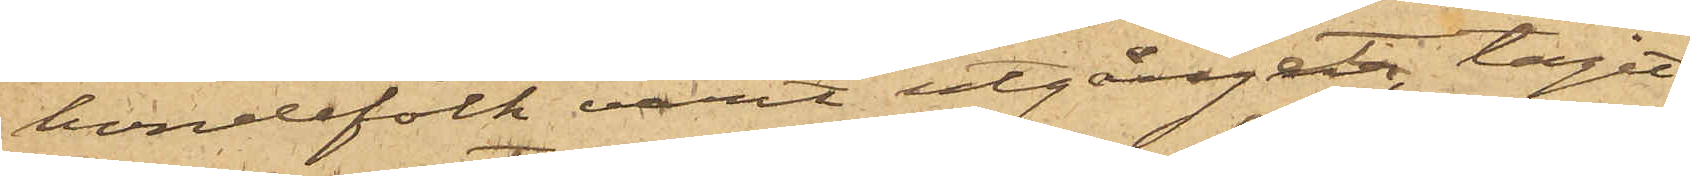bondefolk varit utgånget, tagit
